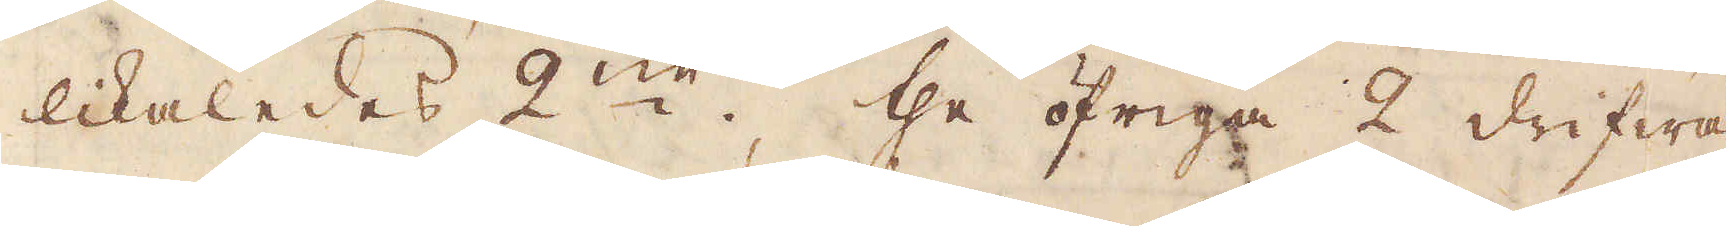likaledes 2:ne, the öfriga 2 drifwa
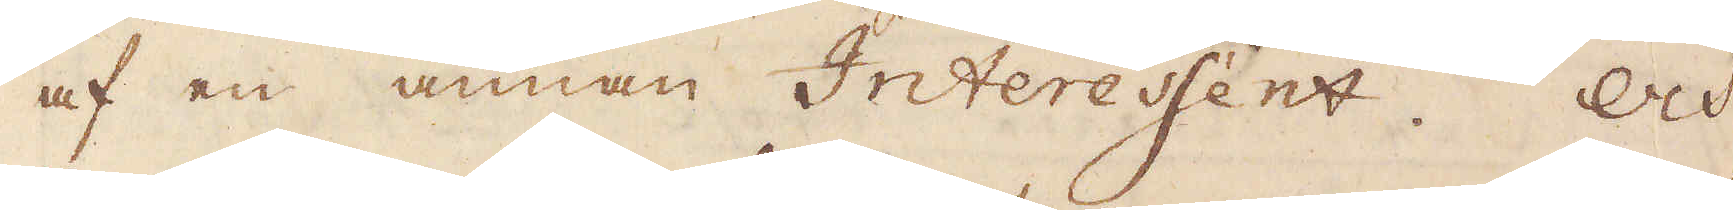af en annan Interessent. Och
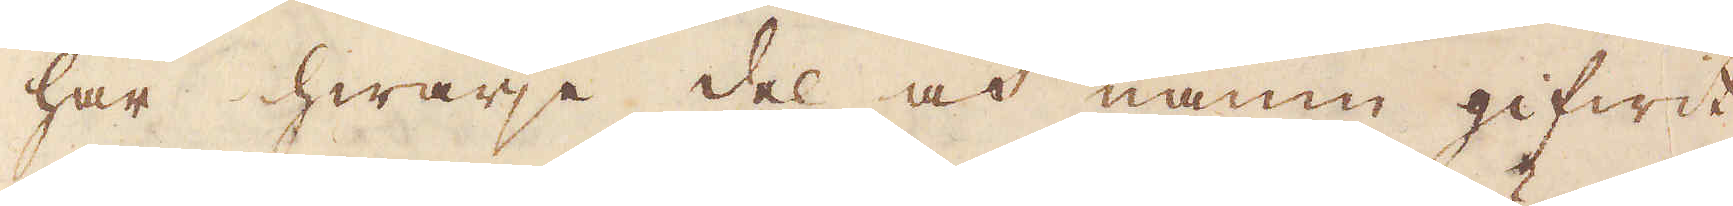har hwarje del och namn gifwit
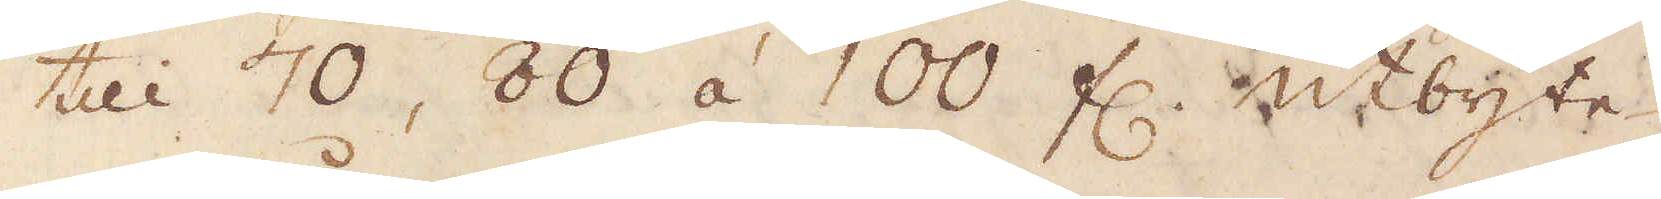till 70, 80 á 100 fl. utbyte
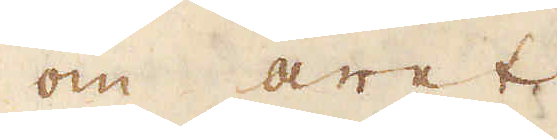om året.
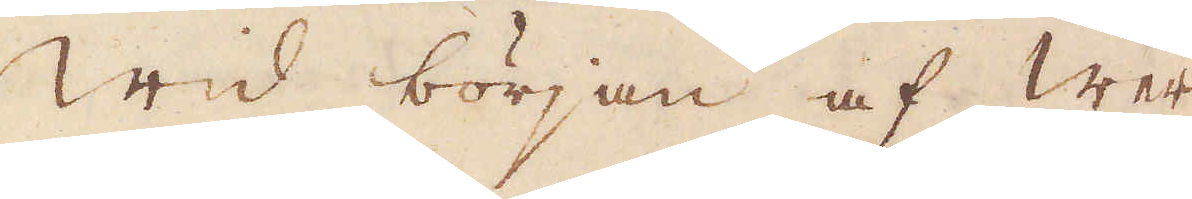Wid början af wer-
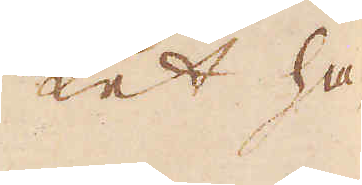ket ha-
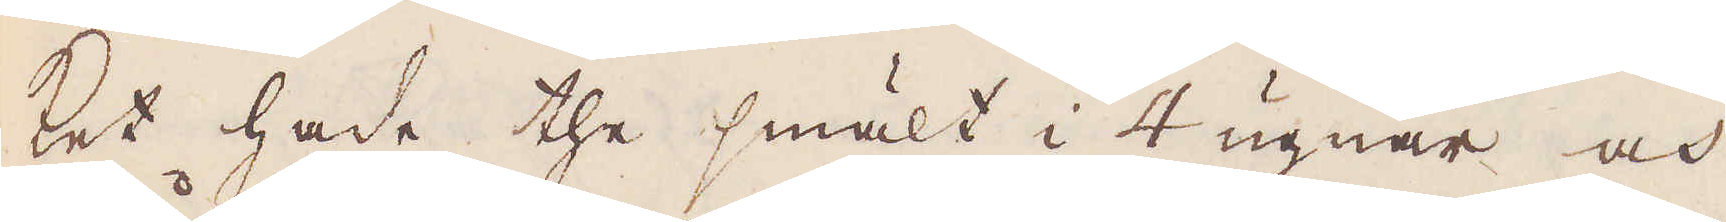ket hade the smält i 4 ugnar och
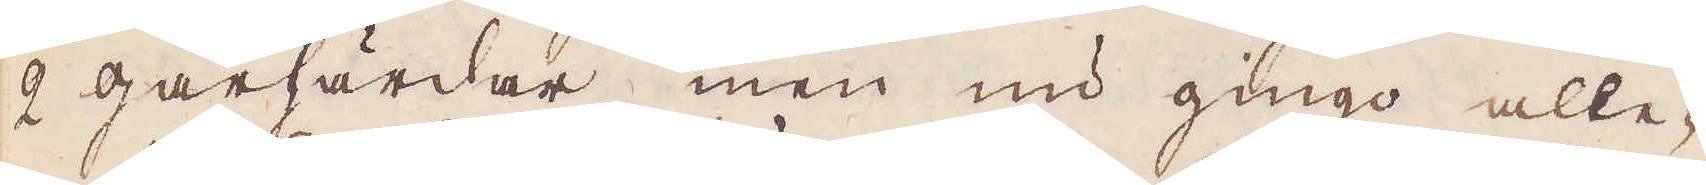2 gårhärdar, men nu gingo alle-
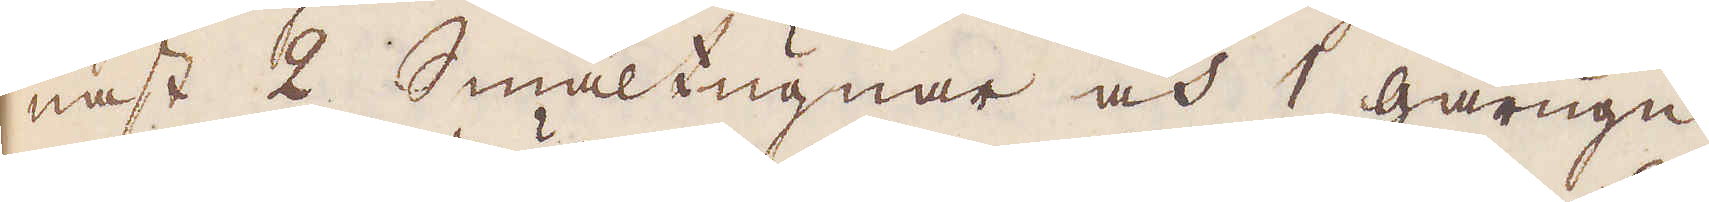nast 2 Smältugnar och 1 gårugn
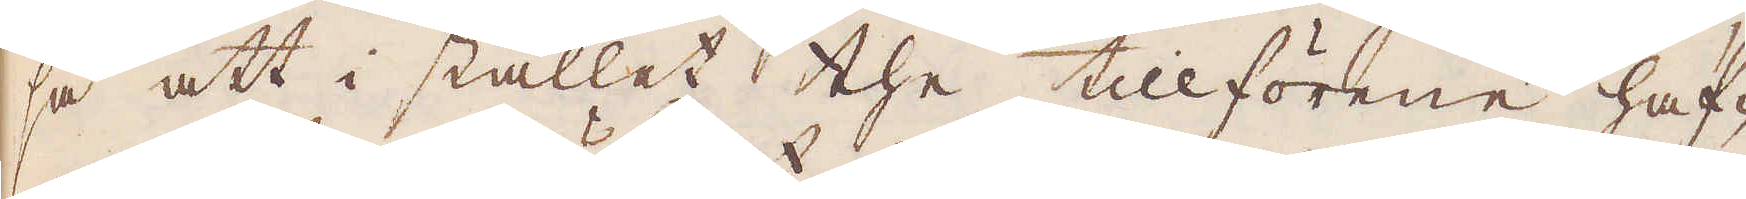så att i stället the tillförene haf-
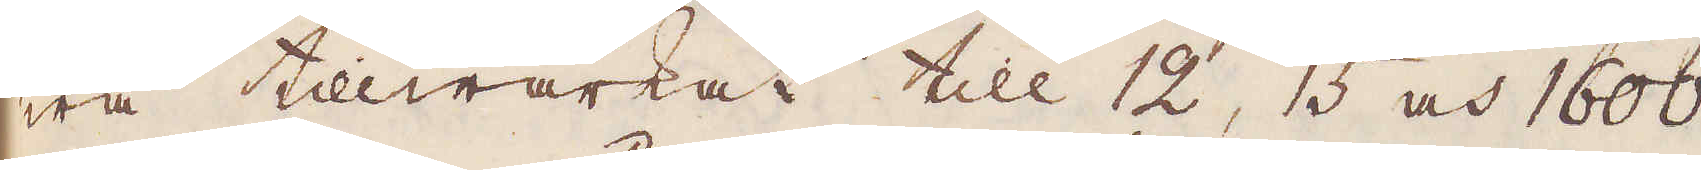wa tillwärkat till 12, 15 och 1600
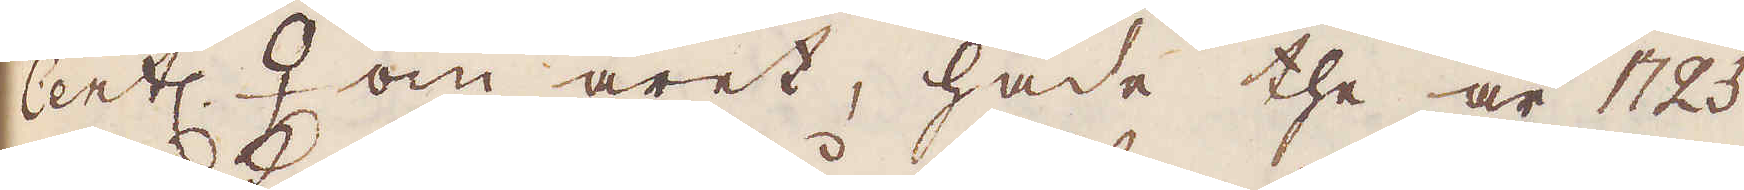Cent ♀ om året, hade the är 1725
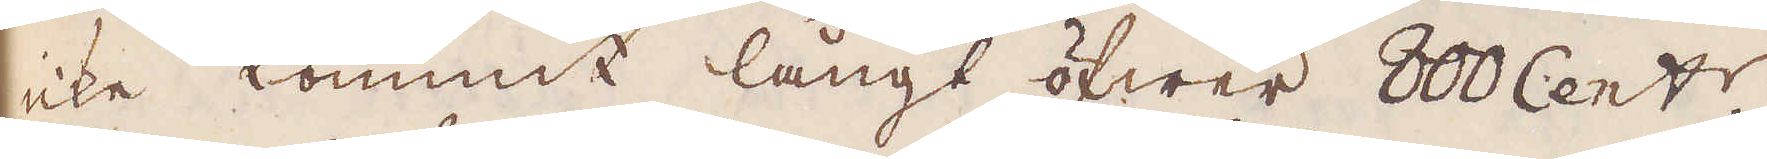icke kommit långt öfwer 800 Cent:r
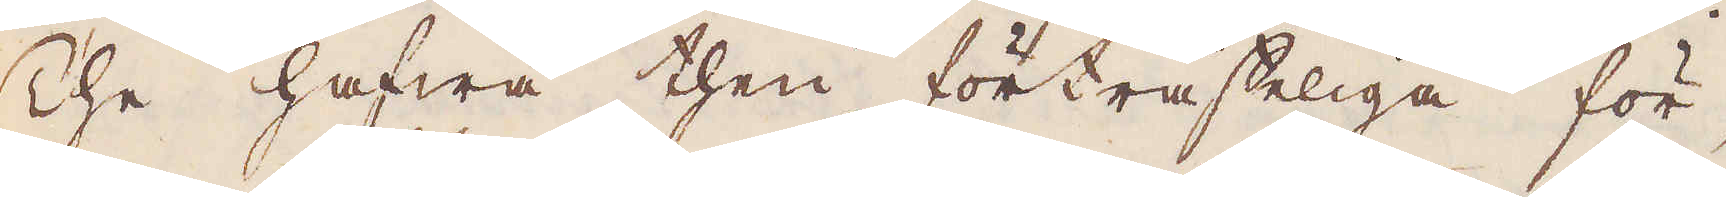The hafwa then förträsteliga för-
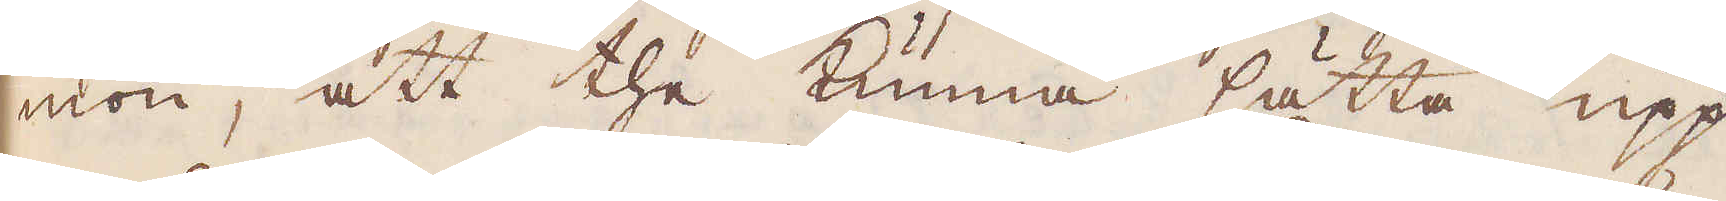mon, att the kunna sätta upp
